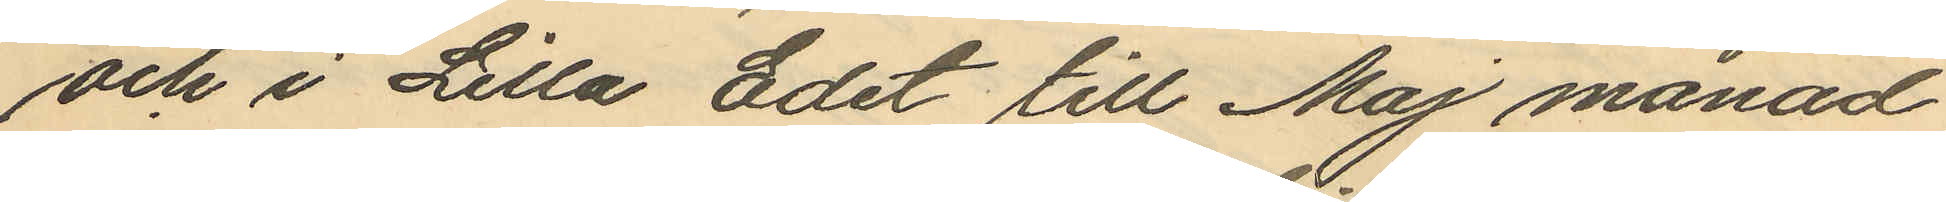och i Lilla Edet till Maj månad
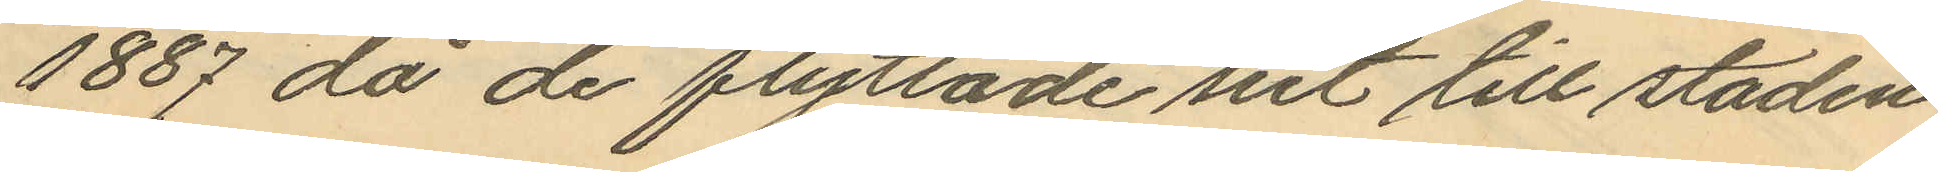1887 då de flyttade sist till staden
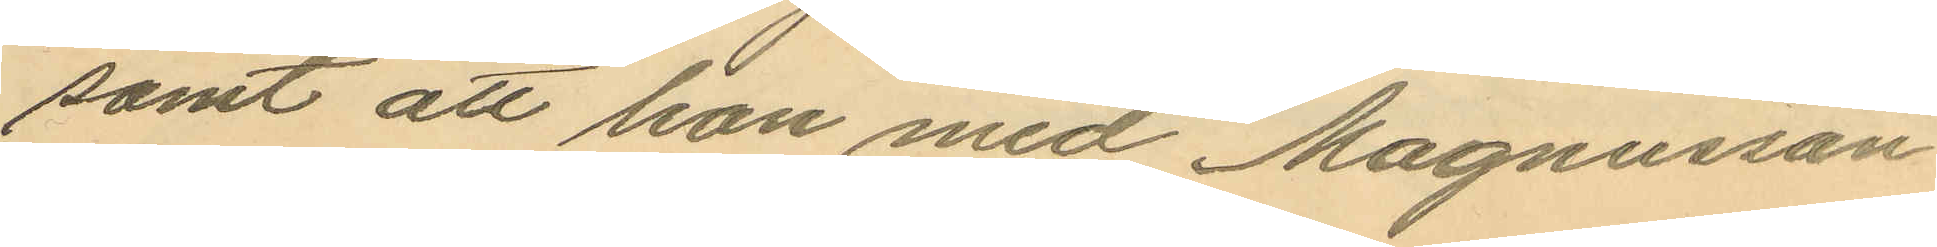samt att hon med Magnusson
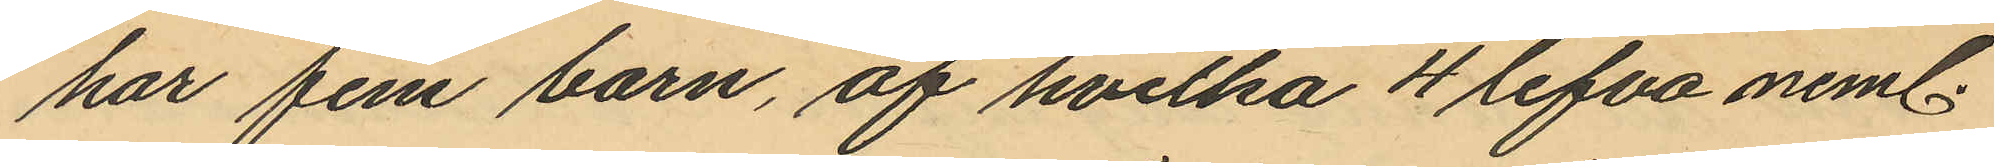har fem barn, af hvilka 4 lefva neml.
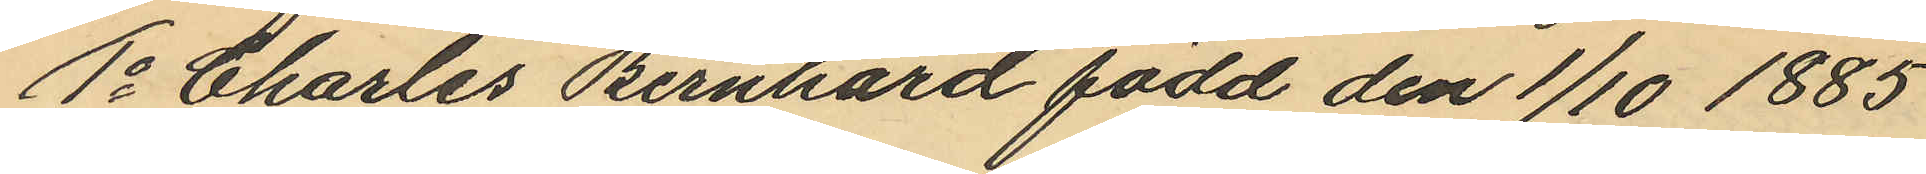1o Charles Bernhard född den 1/10 1885
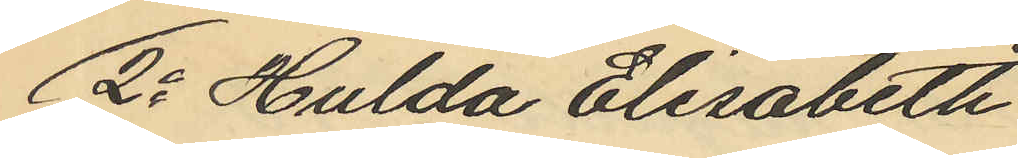2o Hulda Elisabeth
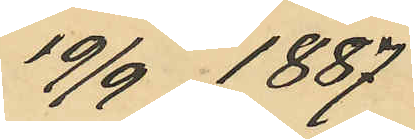19/9 1887
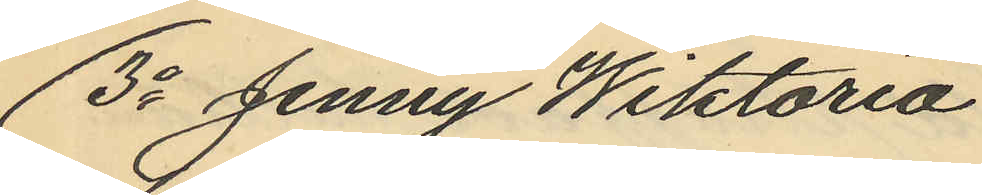3o Jenny Wiktoria
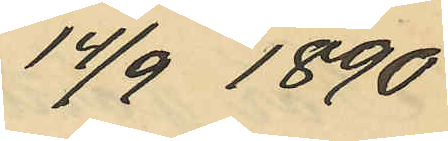14/9 1890
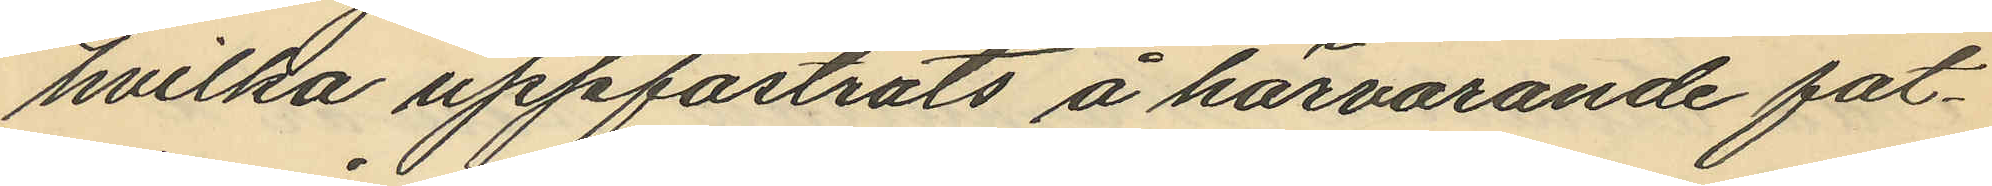hvilka uppfostrats å härvarande fat¬
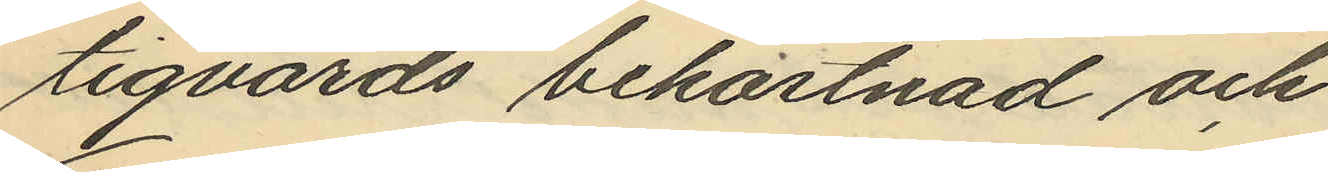tigvårds bekostnad och
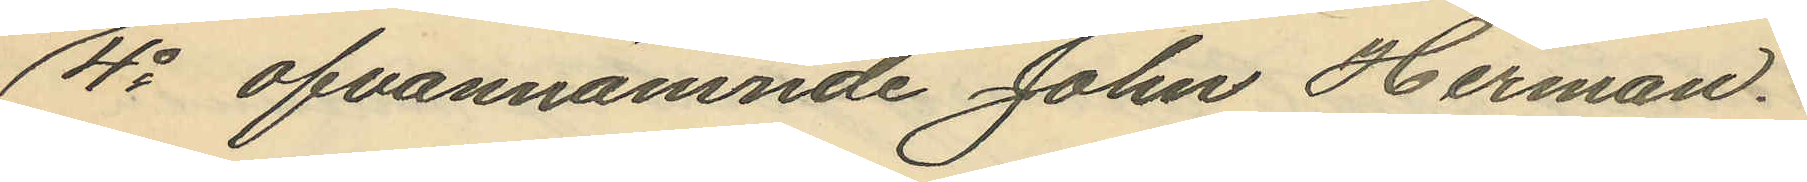4o ofvannämnde John Herman
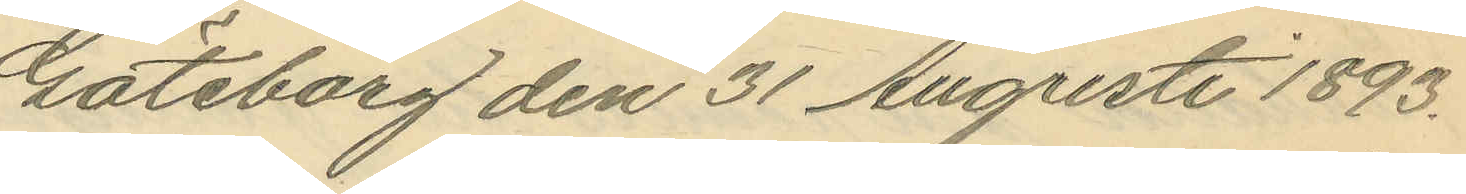Göteborg den 31 Augusti 1893.
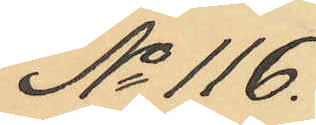No 116.
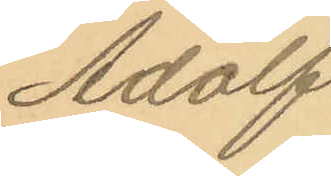Adolf
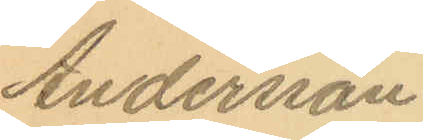Andersson
